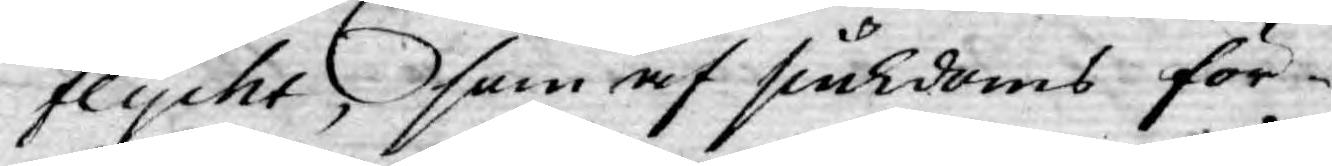flycht, som af siukdoms för¬
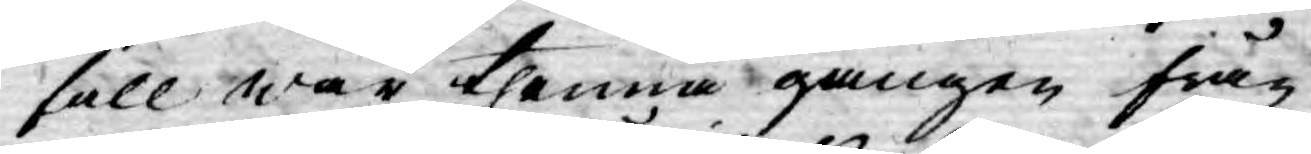fall war thenna gången från¬
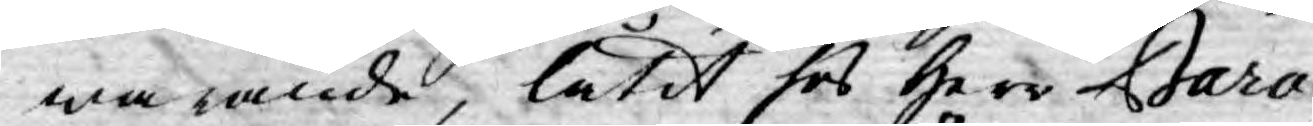warande, låtit hos Herr Baro¬
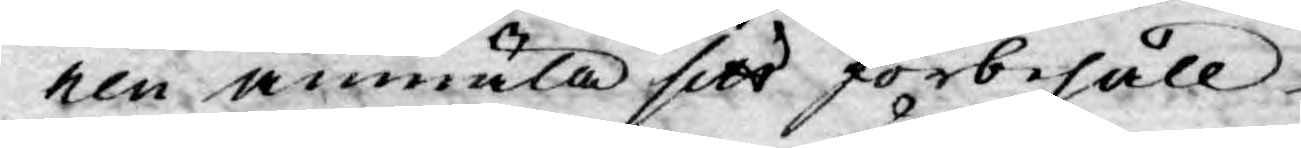nen anmäla sitt förbehåll
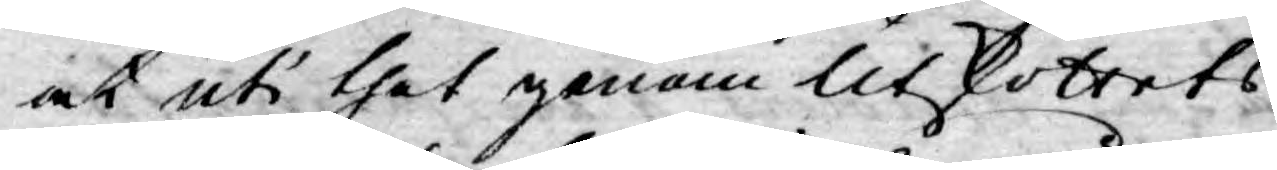at uti thet genom Utskottets
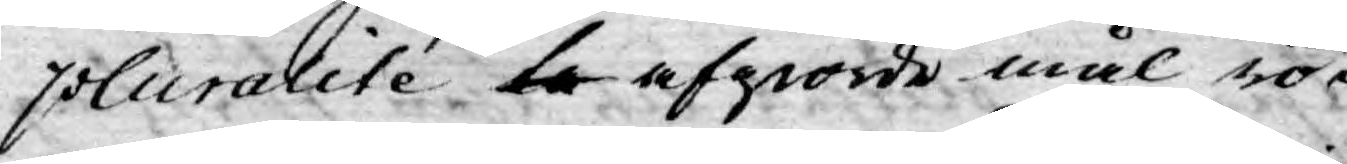pluralité ta afgiorde mål rö¬
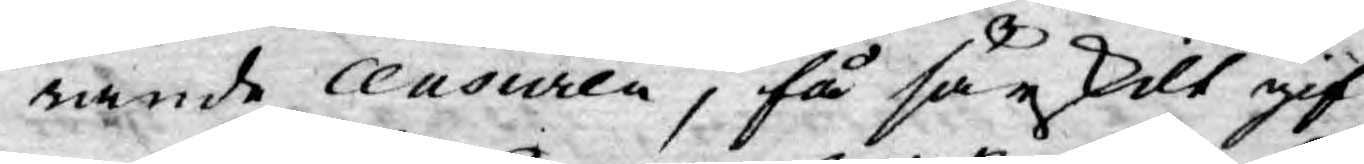rande censuren, få särskilt gif¬
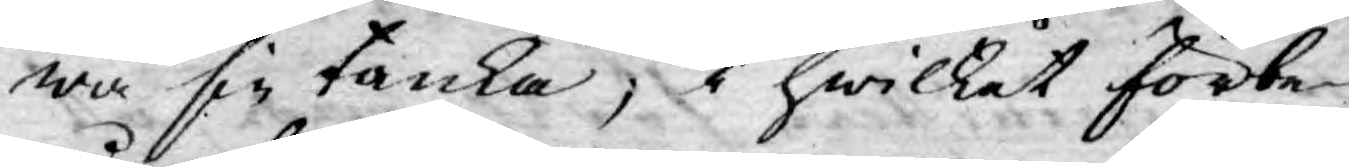wa sin tanka, i hwilket förbe¬
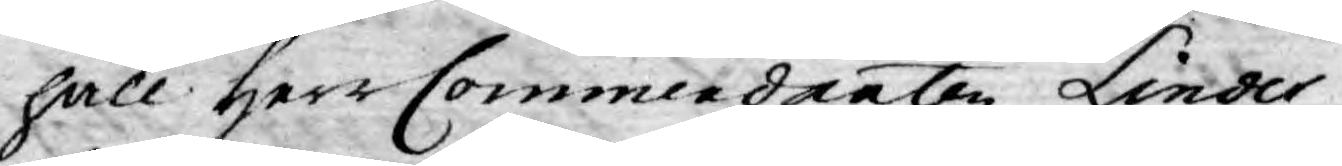håll Herr Commendanten Linder¬
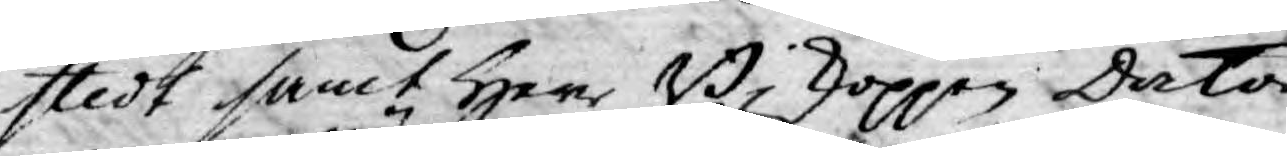stedt samt Herr Biskoppen Doctor
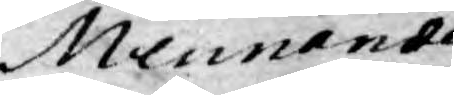Mennander
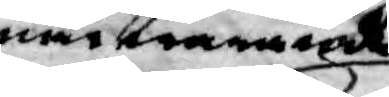närwarande
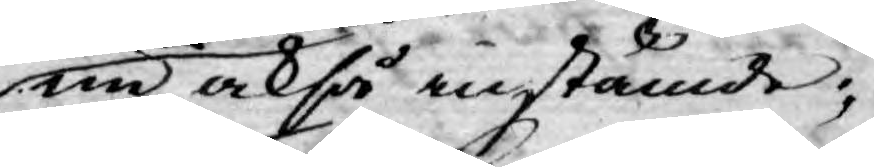nu också instämde;
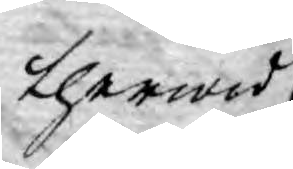therwid
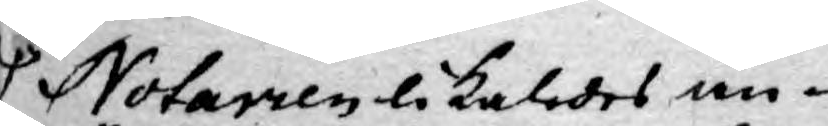Notarien likaledes an¬
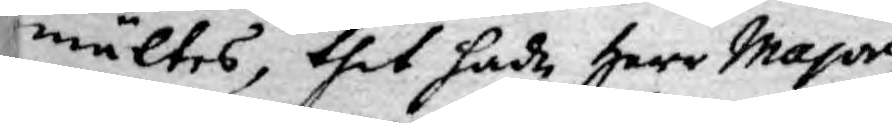mältes, thet hade Herr Major
